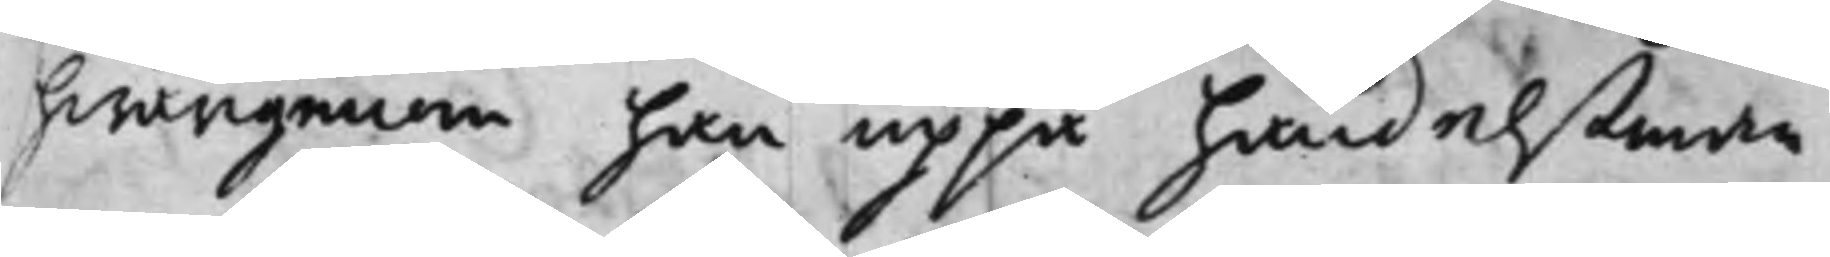hwarigenom han uppå handelßman¬
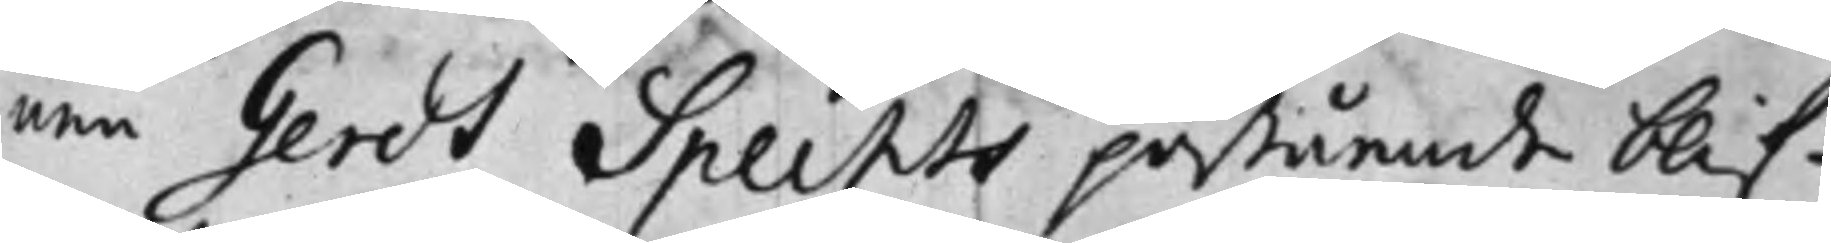nen Gerdt Spechts påstående blif¬
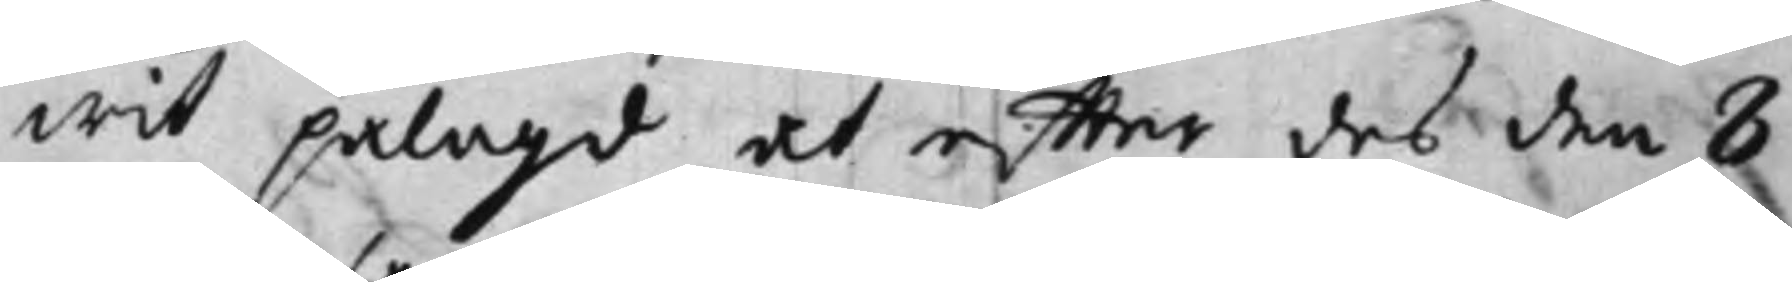wit pålagd at effter des den 8
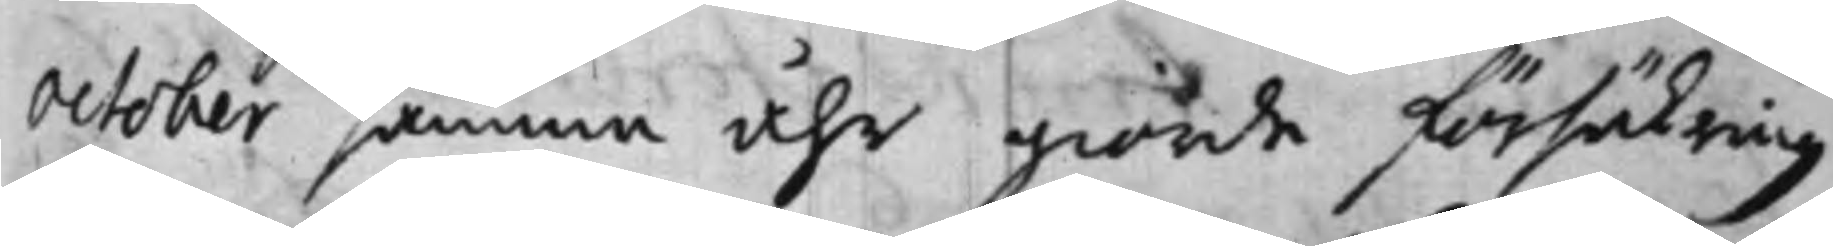October samma åhr giorde försäkring
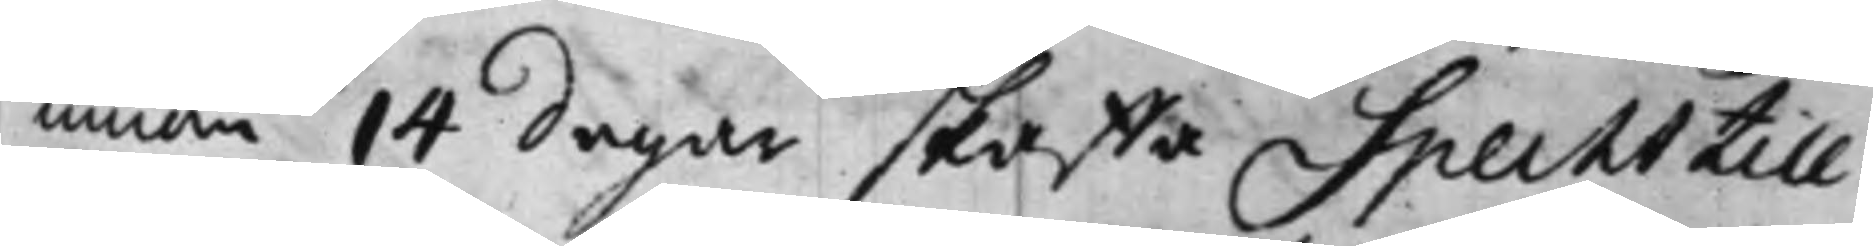innom 14 dagar skaffa Specht till¬
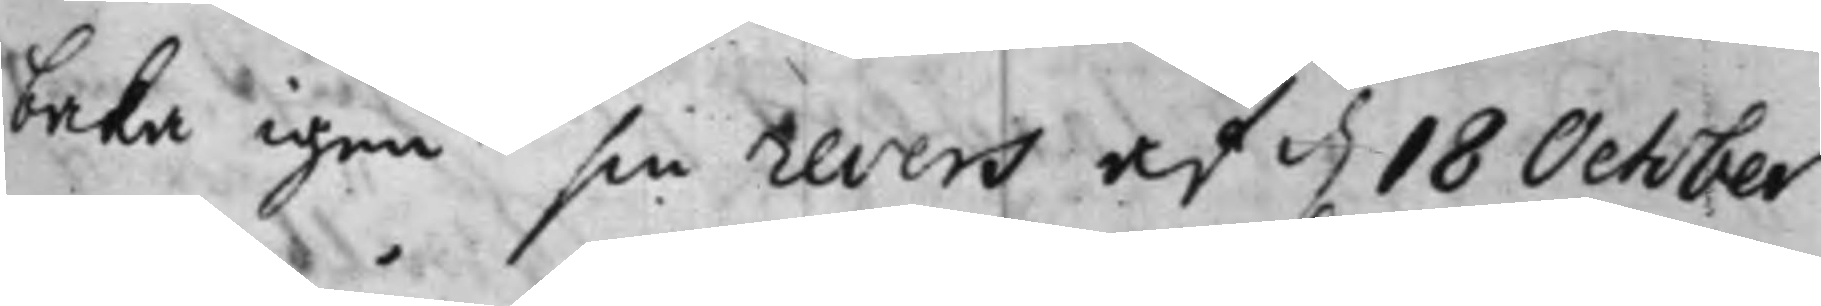baka igen sin revers af d. 18 October
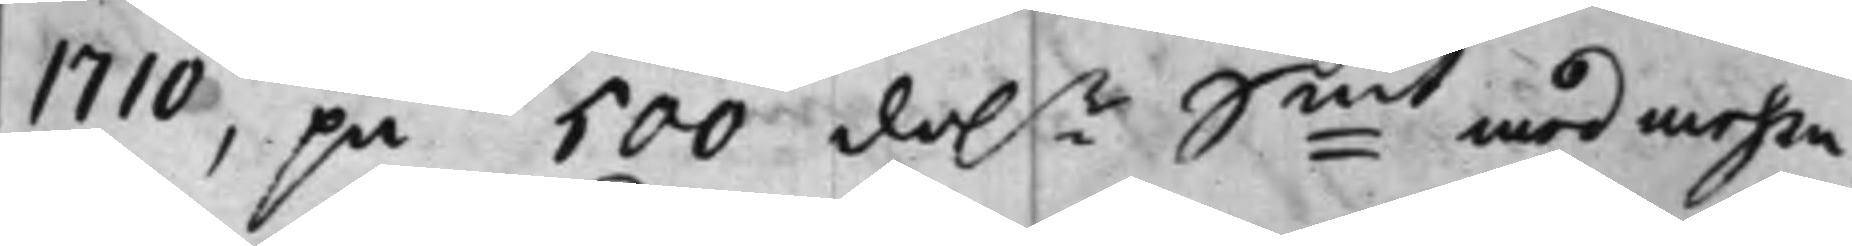1710, på 500 dal.r S:mt med mehra,
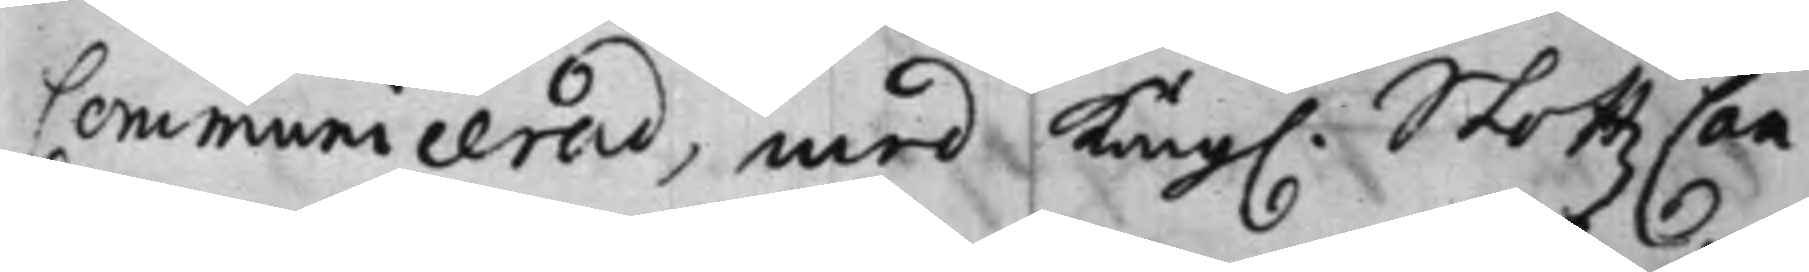Communicerad, med Kong. SlottzCan¬
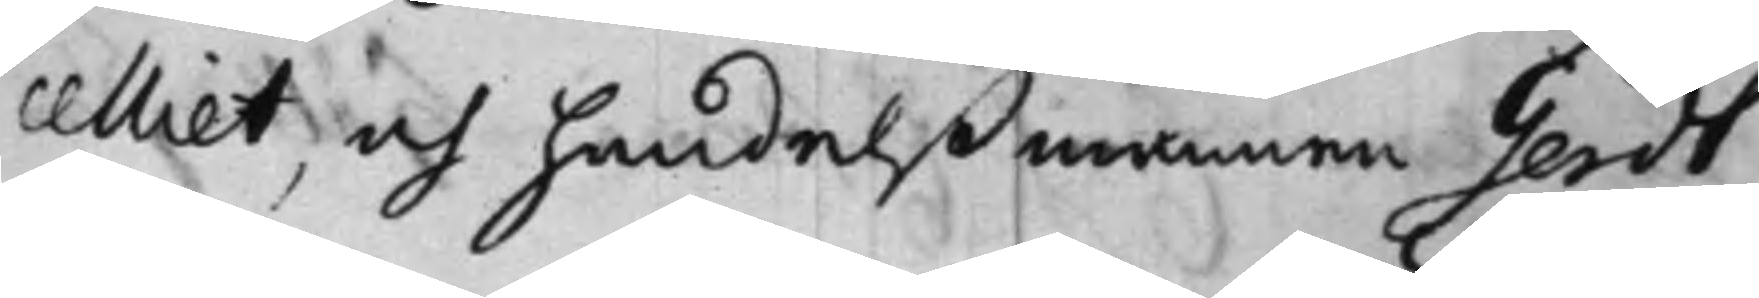celliet, och handelßmannen Gerdt
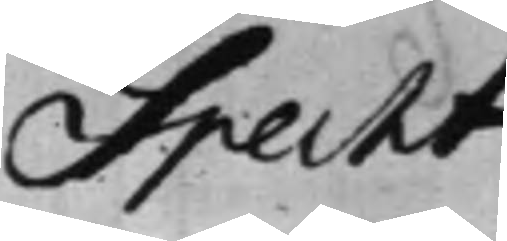Specht
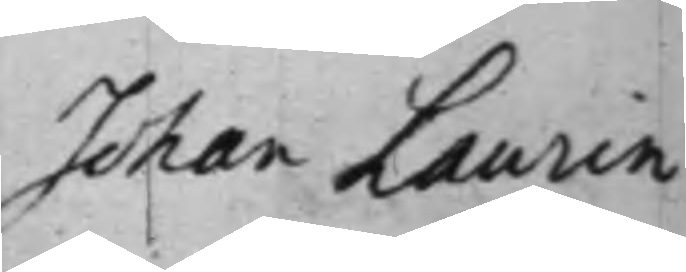Johan Laurin
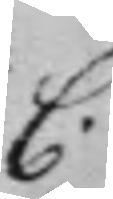C.
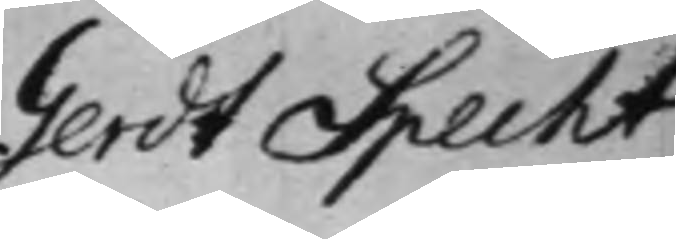Gerdt Specht
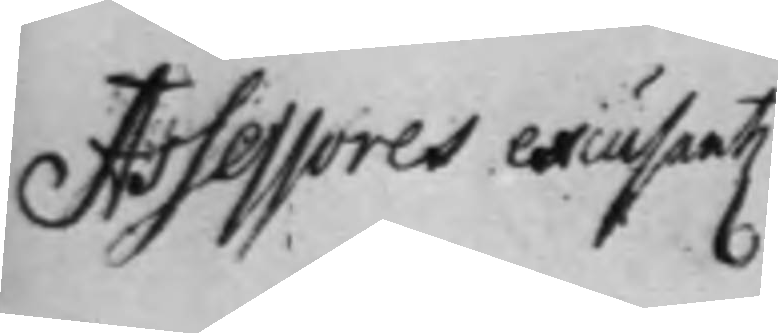Assessores excusant.
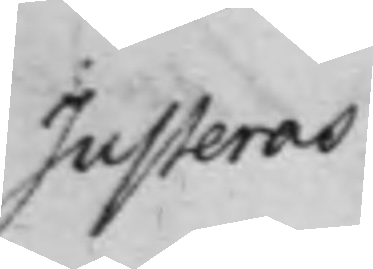Justeras
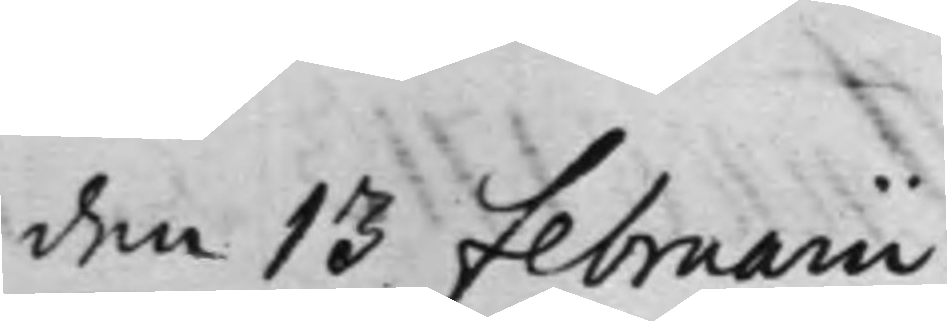den 13 Februarii
